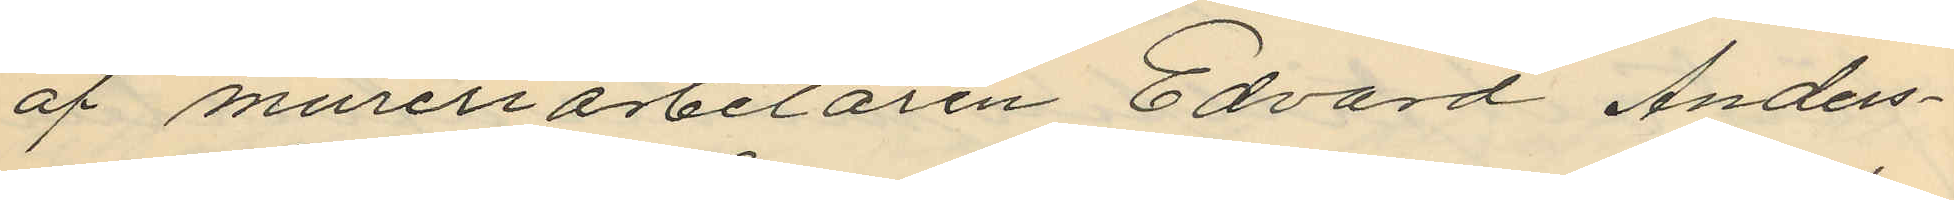af mureriarbetaren Edvard Anders¬
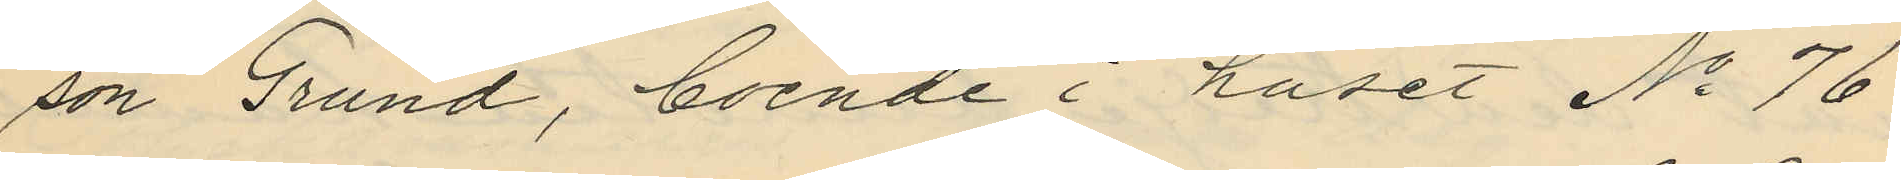son Grund, boende i huset No 76
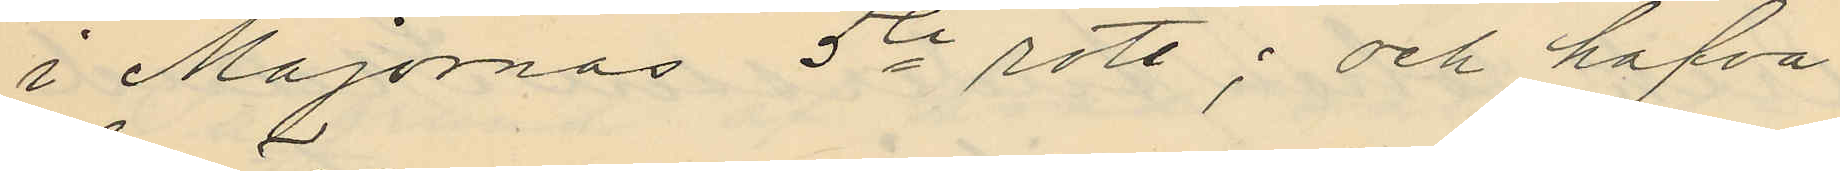i Majornas 5te rote; och hafva
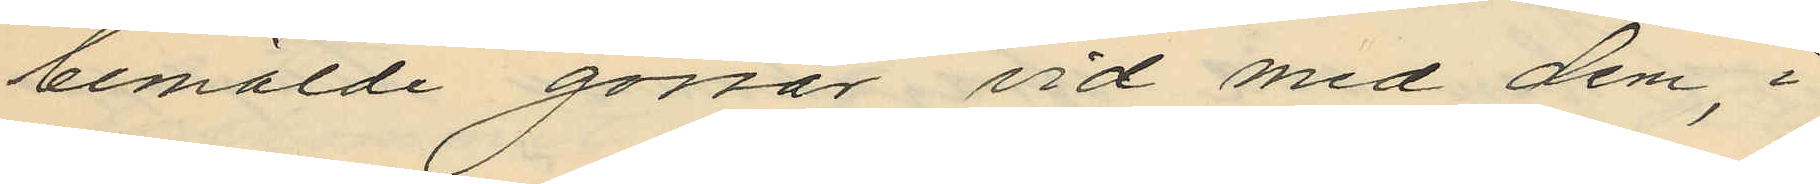bemälde gossar vid med dem, i
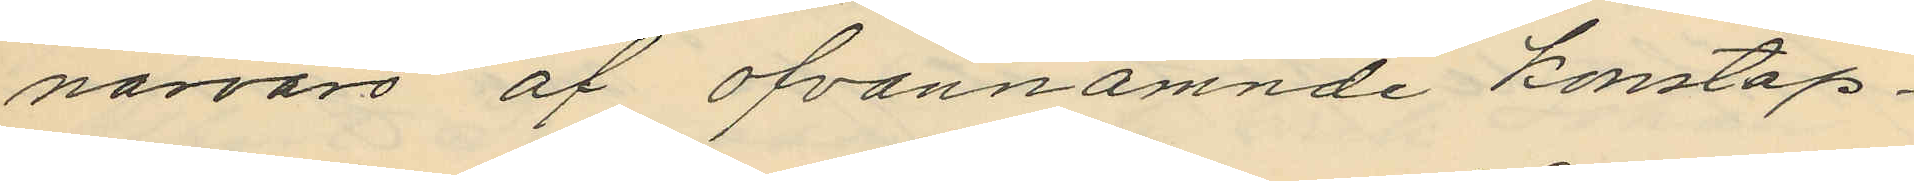närvaro af ofvannämnde konstap¬
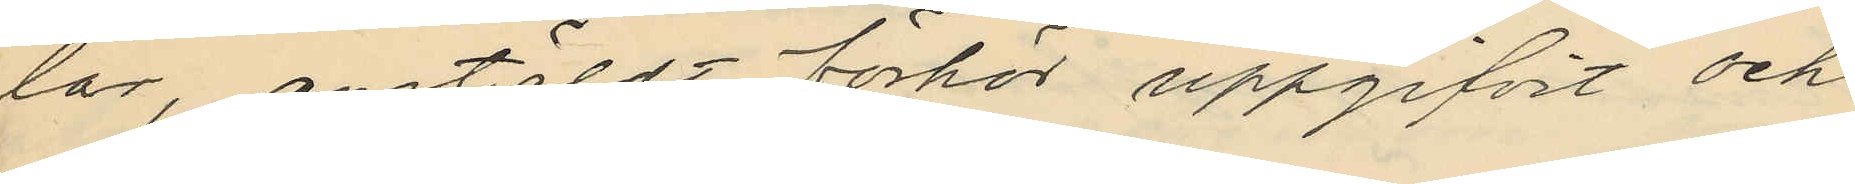lar, anstäldt förhör uppgifvit och
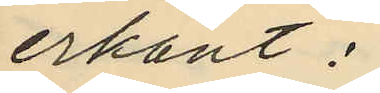erkänt:
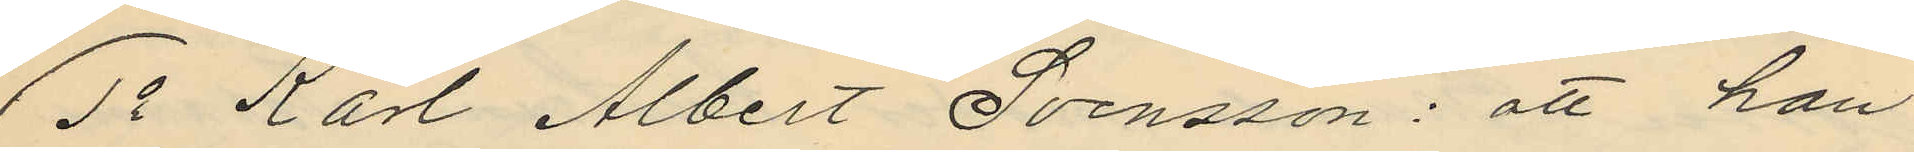1o Karl Albert Svensson: att han
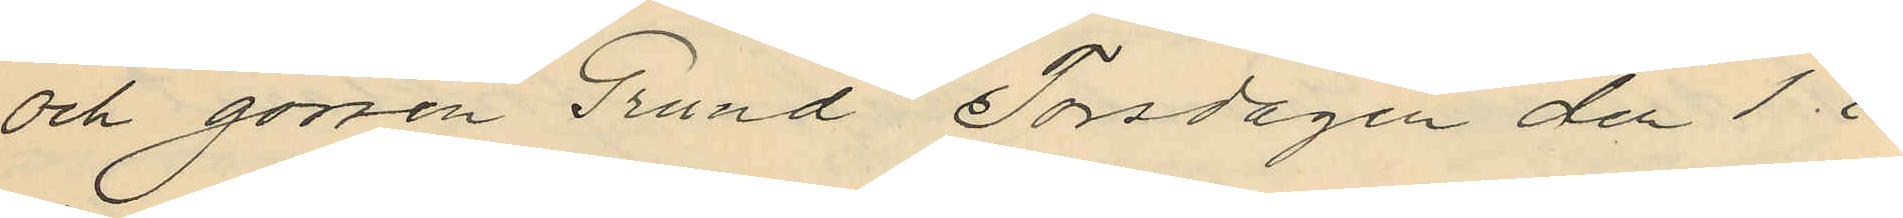och gossen Grund Torsdagen den 1 i
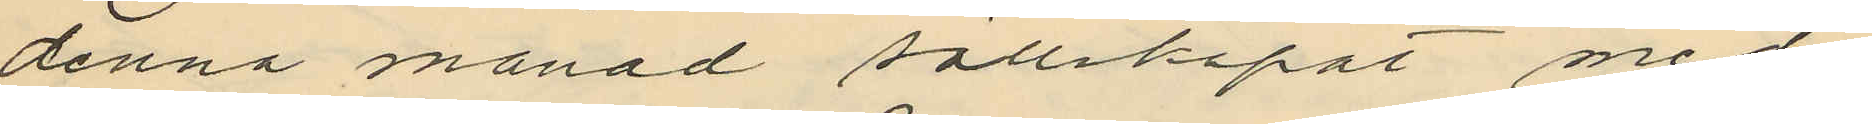denna månad sällskapat med
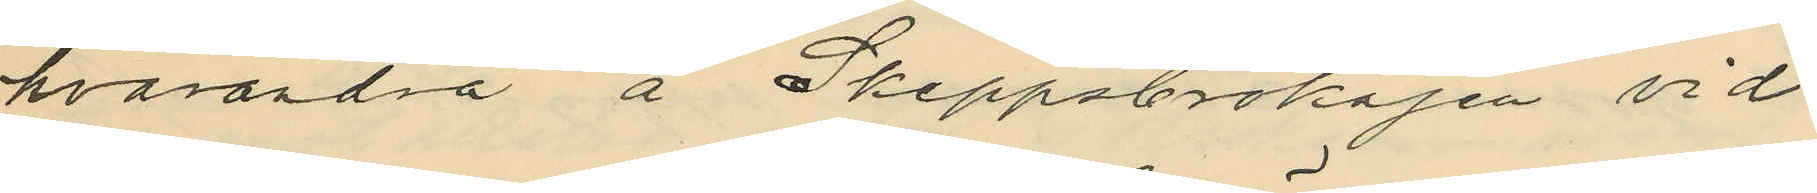hvarandra å Skeppsbrokajen vid
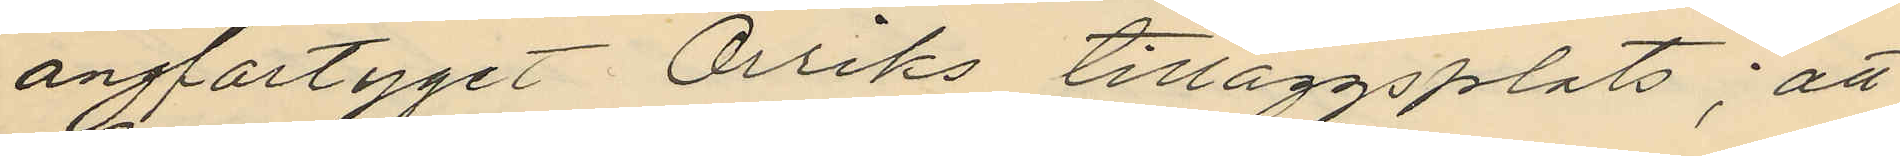ångfartyget Orriks tilläggsplats; att
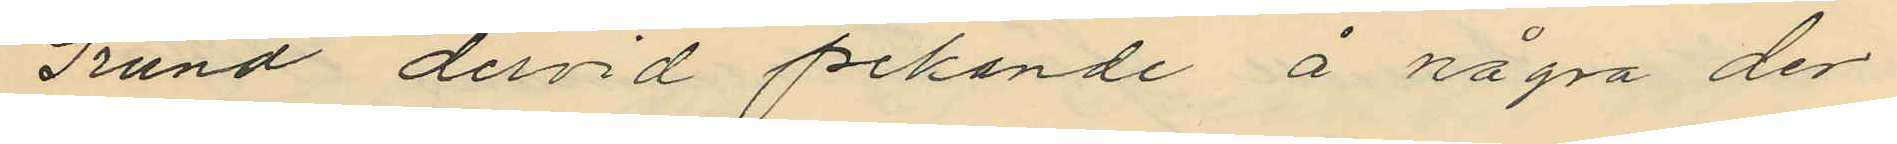Grund dervid pekande å några der
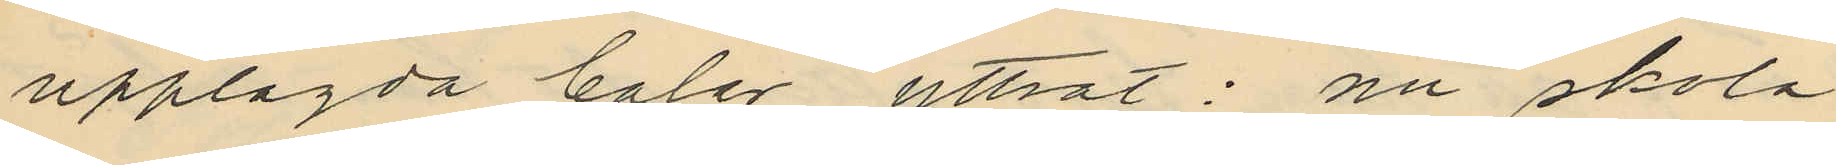upplagda baler yttrat: nu skola
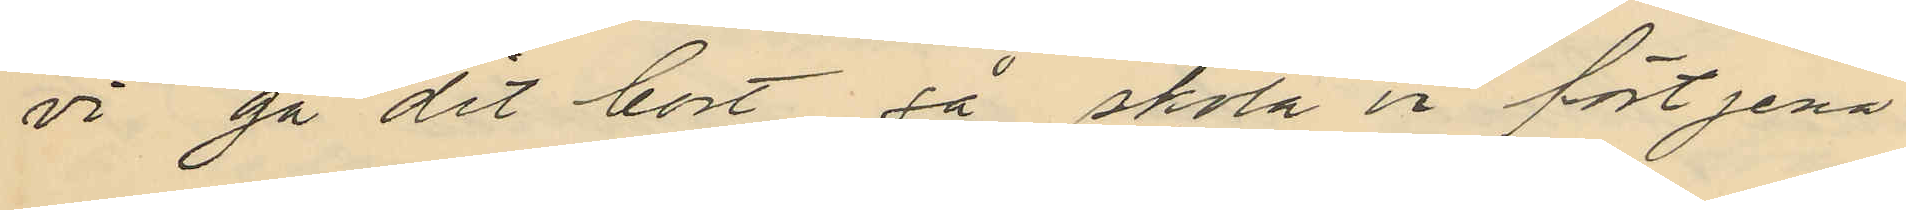vi gå dit bort så skola vi förtjena
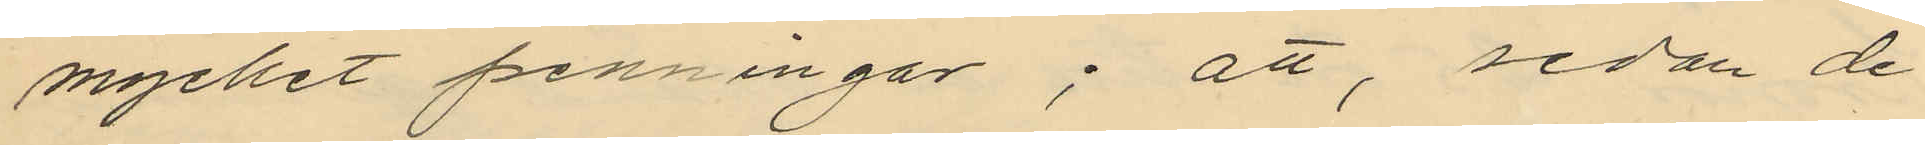mycket penningar; att, sedan de
